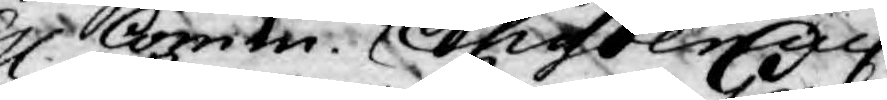H. Comm. Chydenius
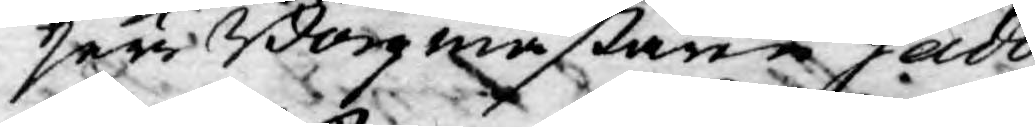Herr Borgmästaren Gadd,
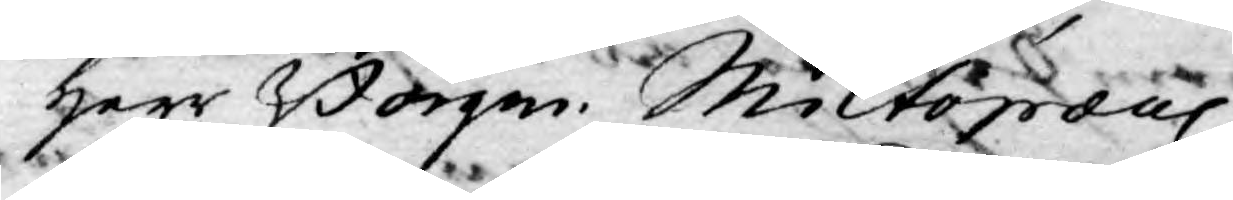Herr Borgm. Miltopæus,
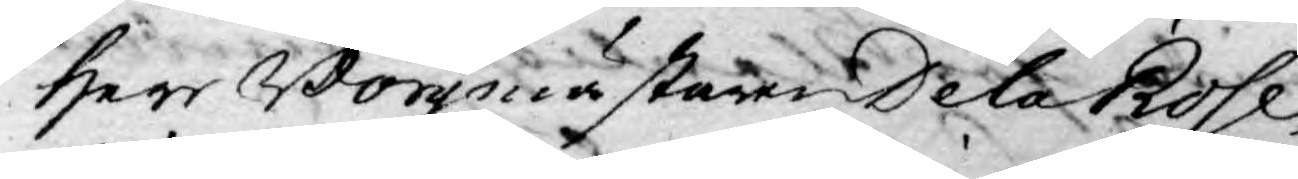Herr Borgmästaren De la Rose,
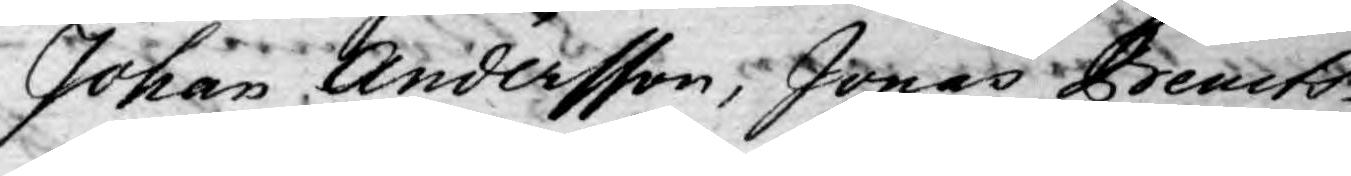Johan Andersson, Jonas Bencts¬
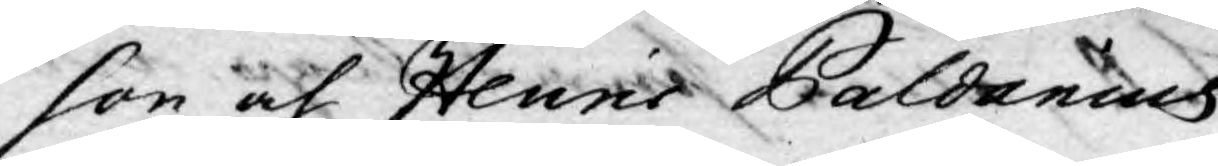son och Henric Paldanius.
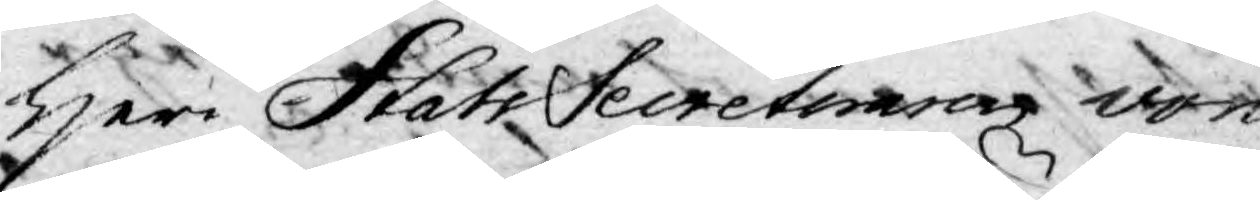Herr Stats Secreteraren von
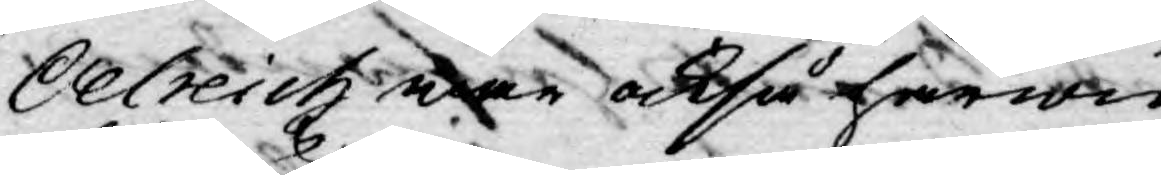Oelreich war också härwid
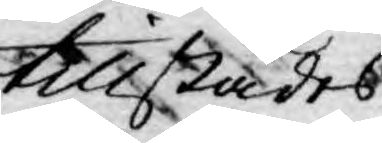tillstädes.
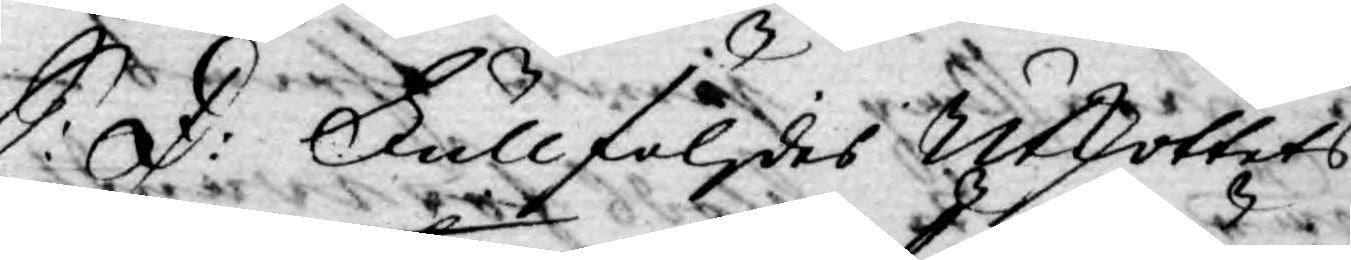S: D: Fullföljdes Utskottets
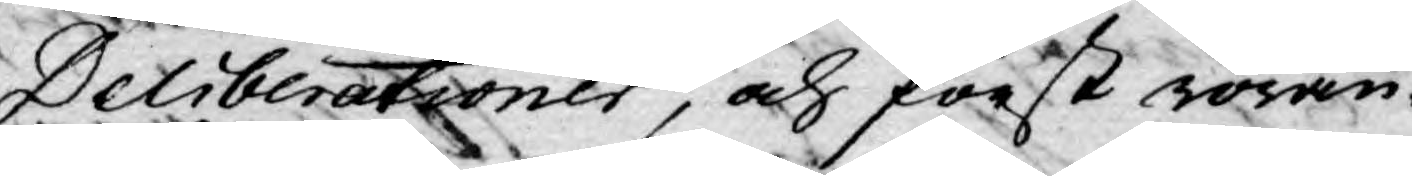Deliberationer, och först röran¬
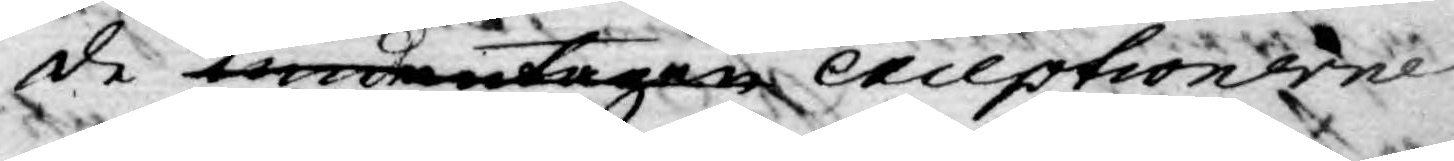de undantagen exceptionerne
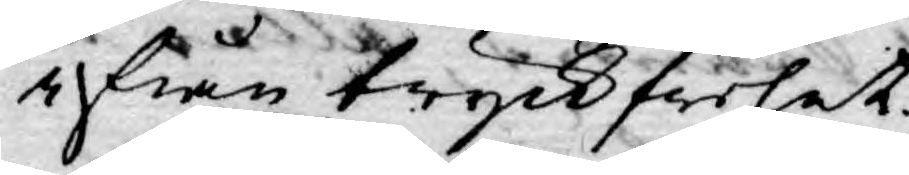ifrån tryckfrihet.
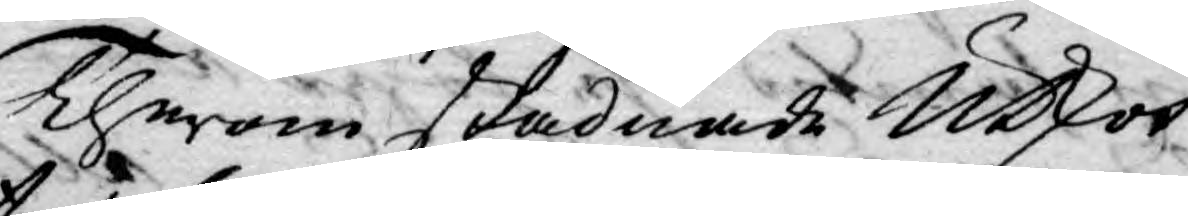Therom stadnade Utskot¬
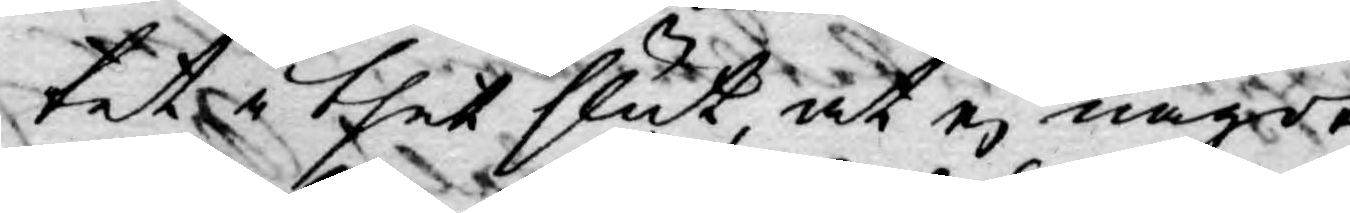tet i thet slut at ej något
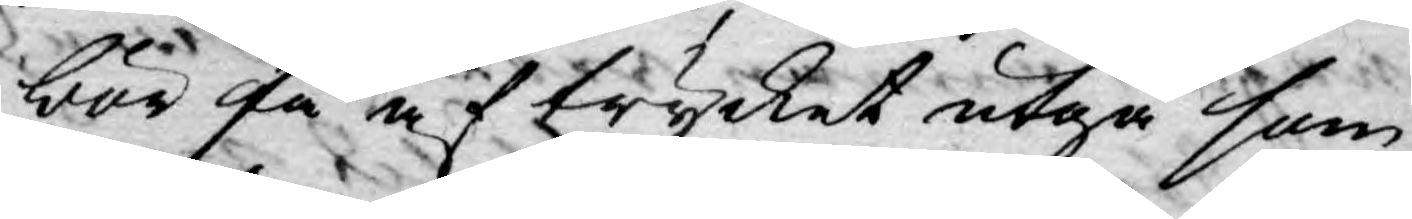bör få af trycket utgå som
